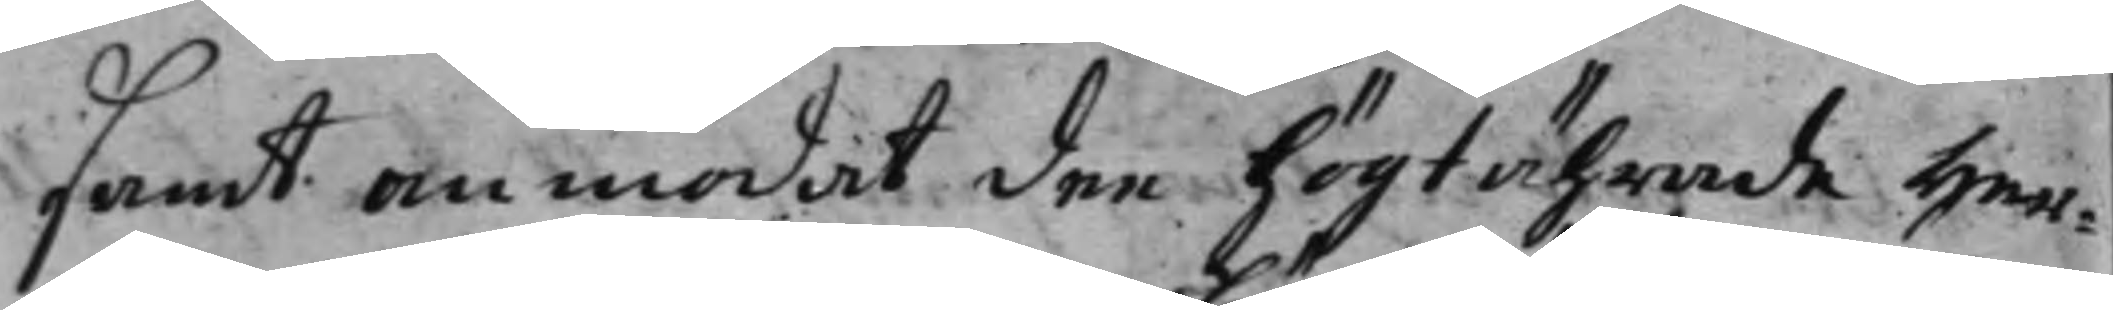samt anmodat dee högt ährade Her¬
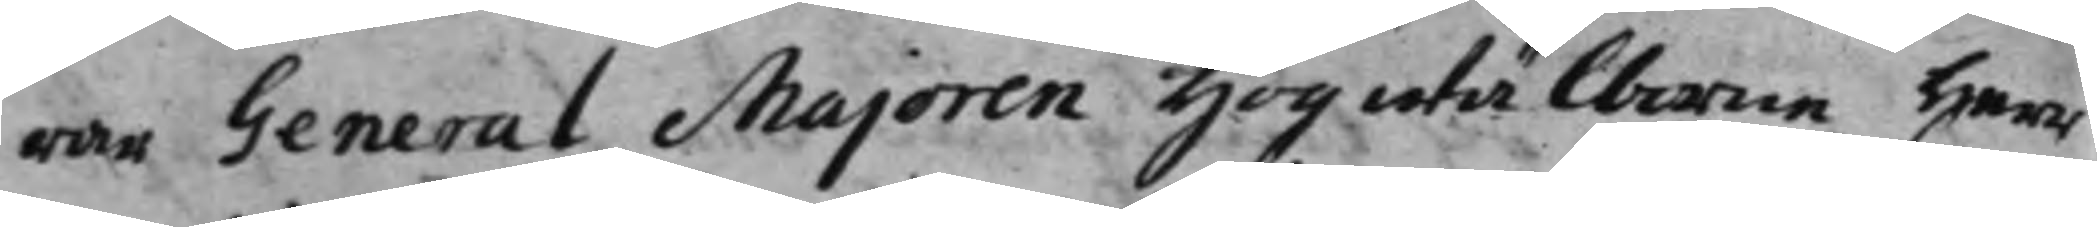rar General Majoren Högwälborne Herr
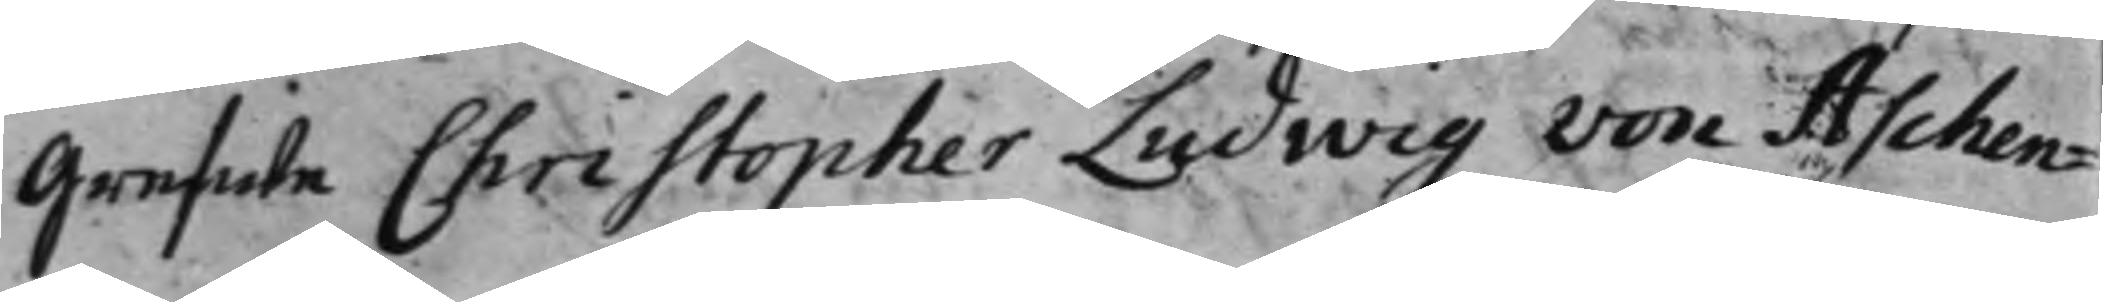Grefwe Christopher Ludwig von Aschen¬
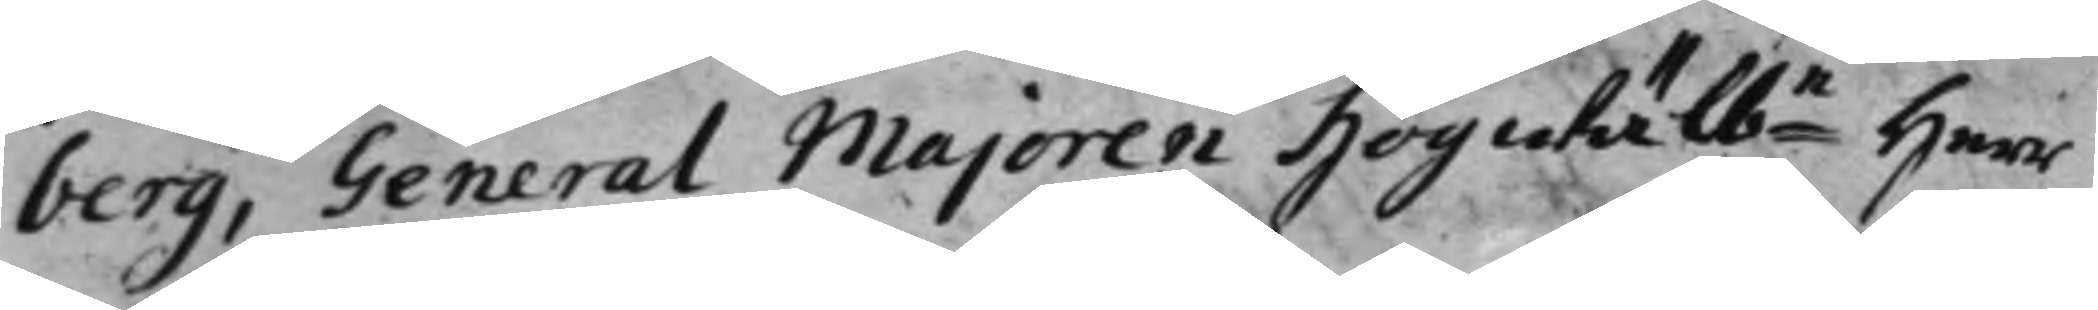berg, General Majoren Högwälbe Herr 
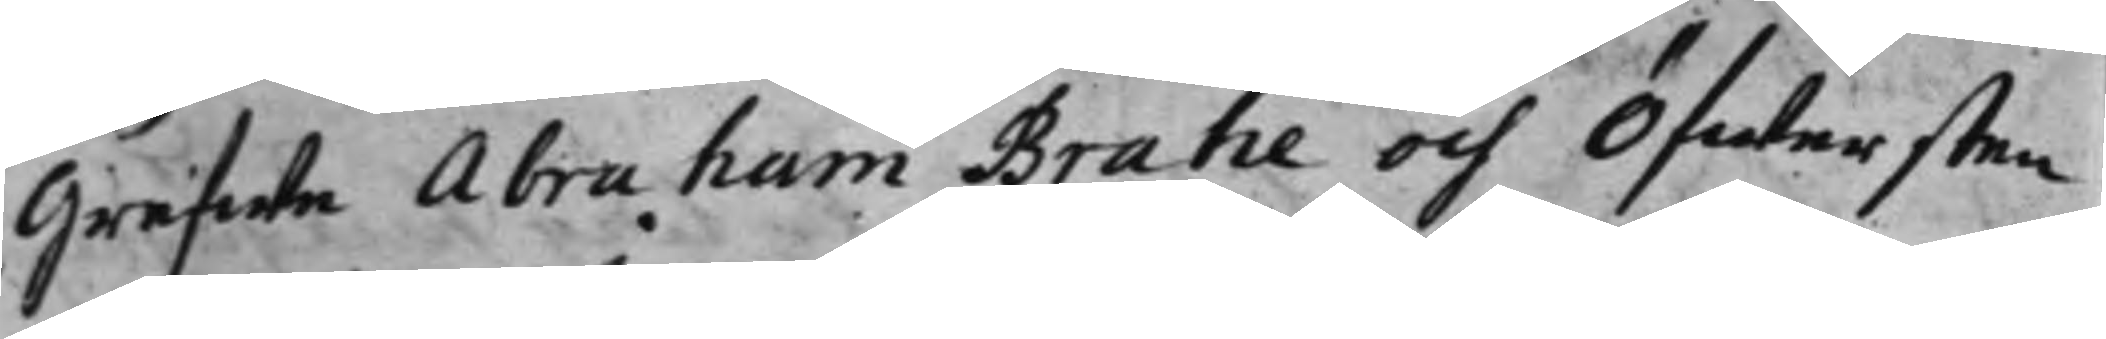Grefwe Abraham Brahe och Öfwersten
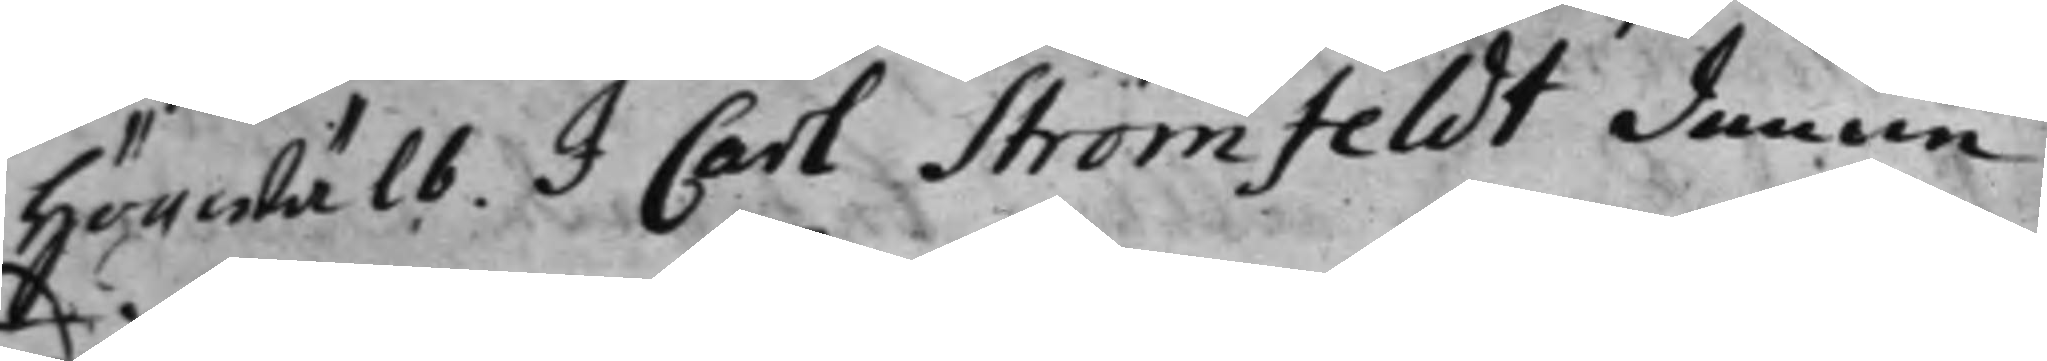Högwälb. J Carl Strömfeldt denne 
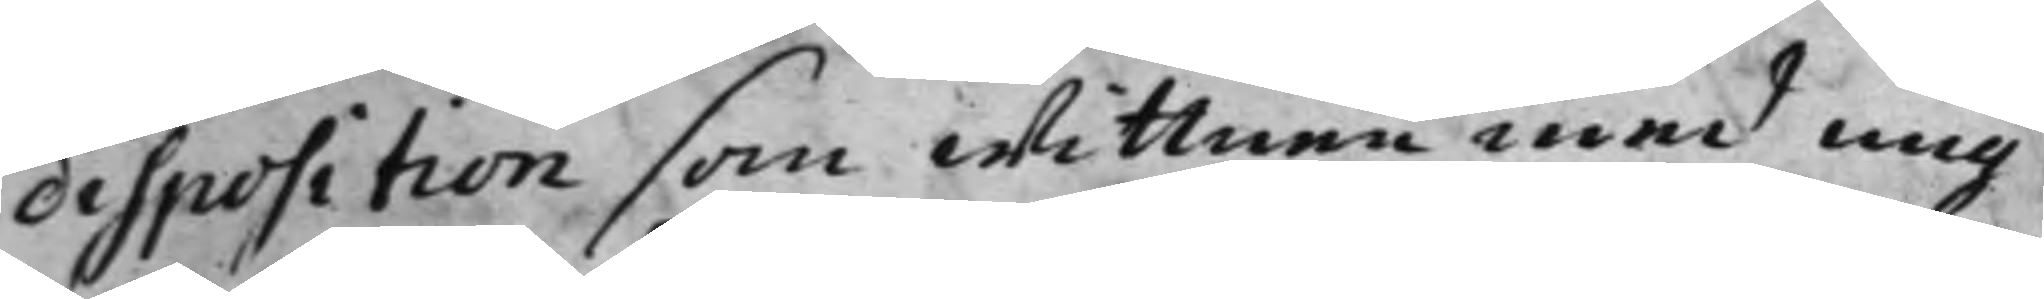disposition som wittnen med mig
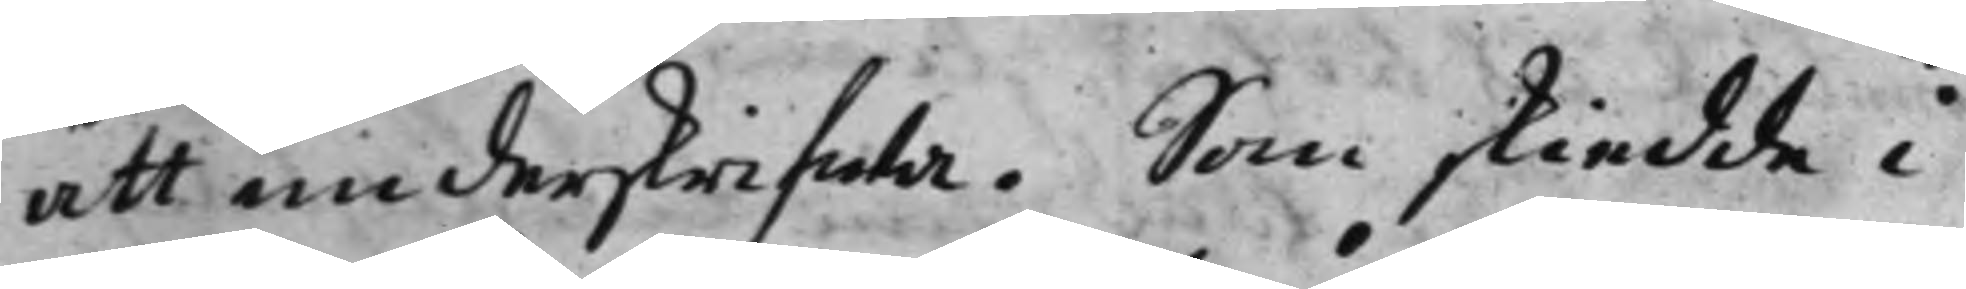att underskrifwa. Som skiedde i
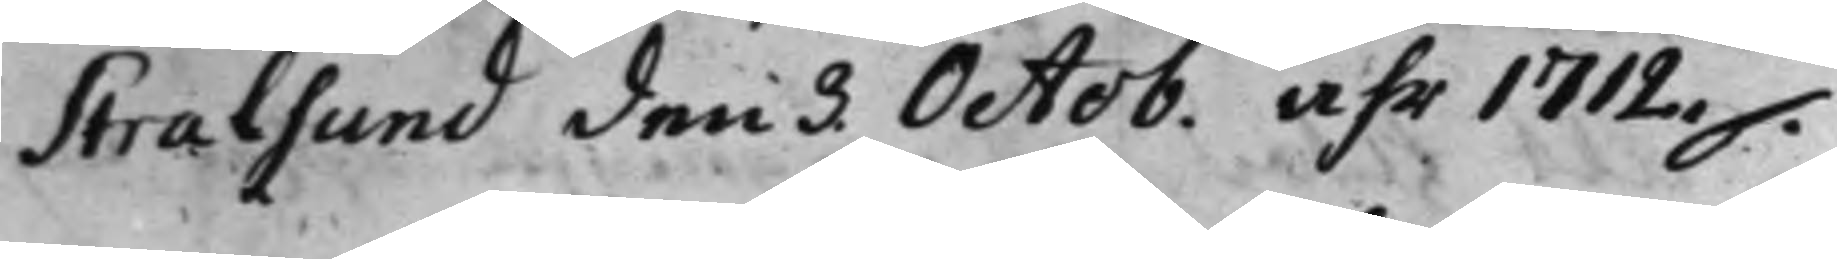Stralhund den 3 Octob.åhr 1712 . 
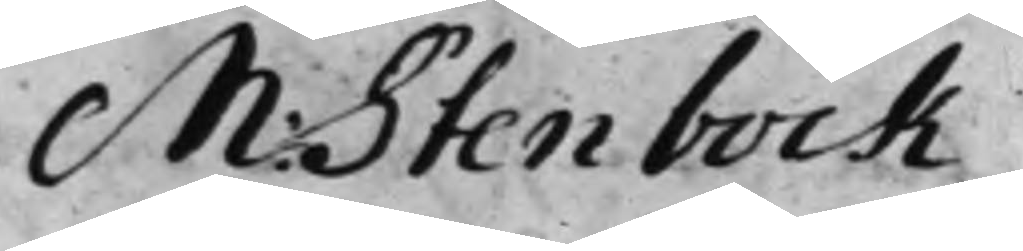M: Stenbock
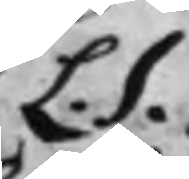L.S.
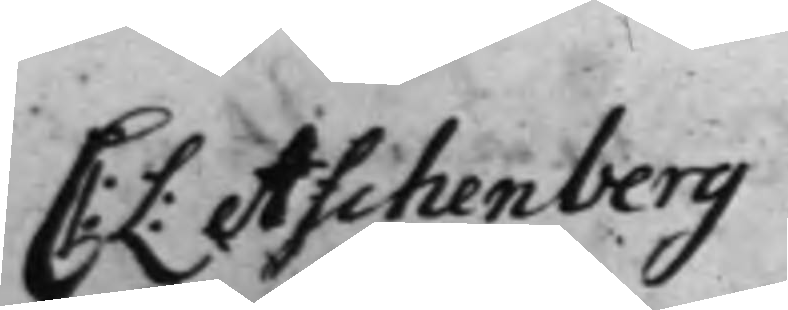C:L: Aschenberg 
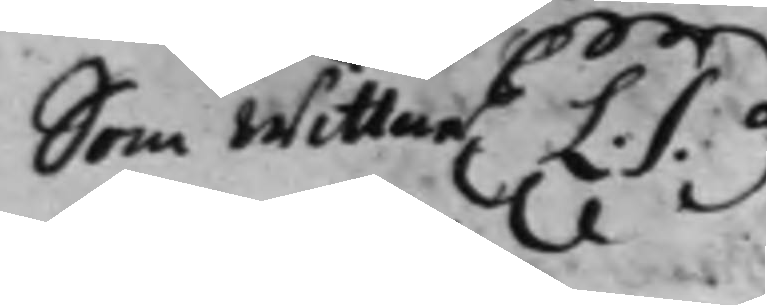Som wittne L.S.
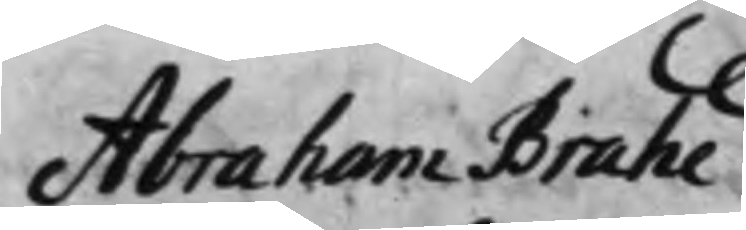Abraham Brahe 
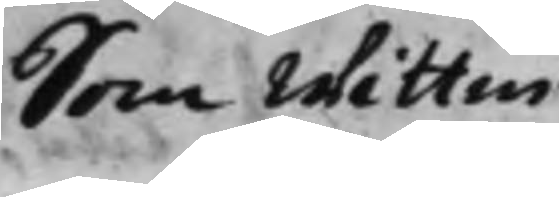Som wittne
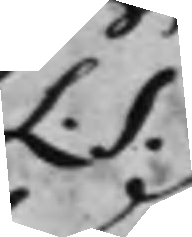L.S.
